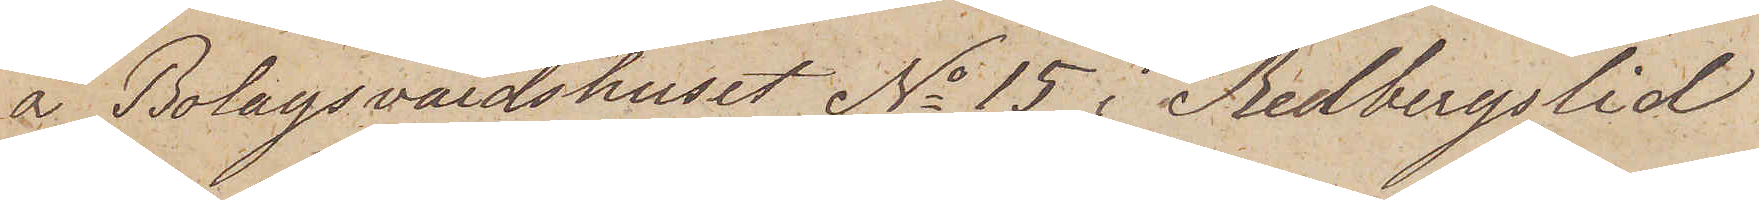å Bolagsvärdshuset No 15 i Redbergslid
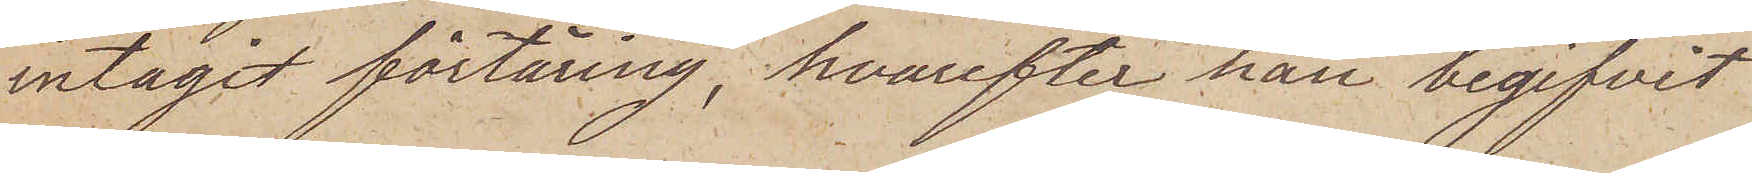intagit förtäring, hvarefter han begifvit
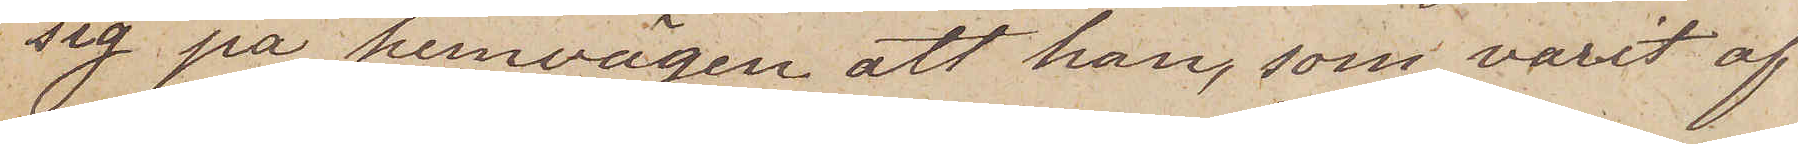sig på hemvägen att han, som varit af
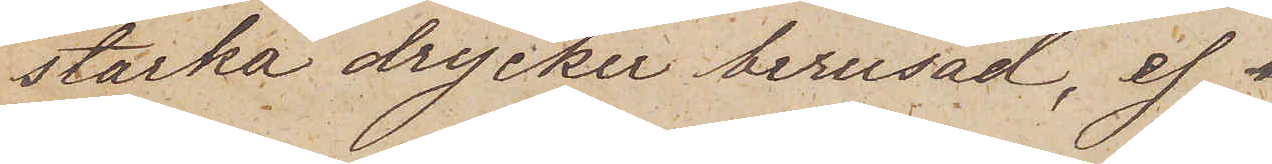starka drycken berusad, ej
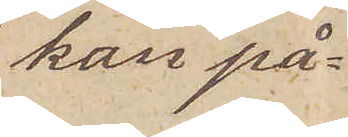kan på¬
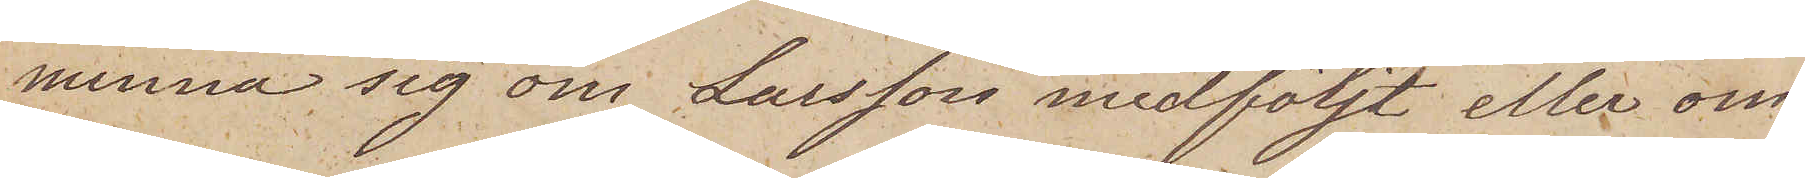minna sig om Larsson medföljt eller om
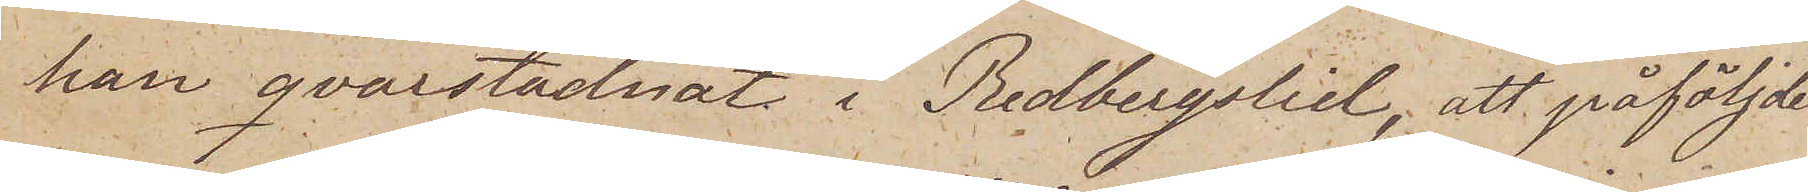han qvarstadnat i Redbergslid, att påföljde
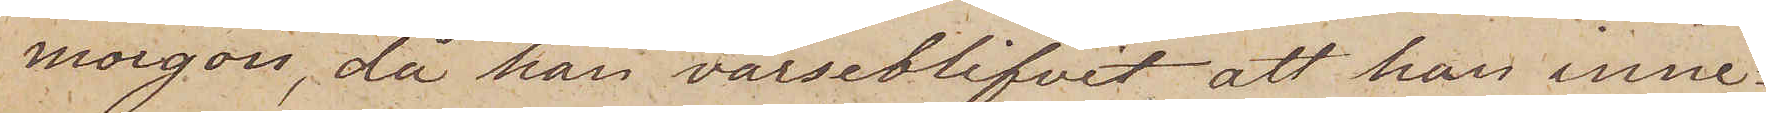morgon, då han varseblifvit att han inne¬
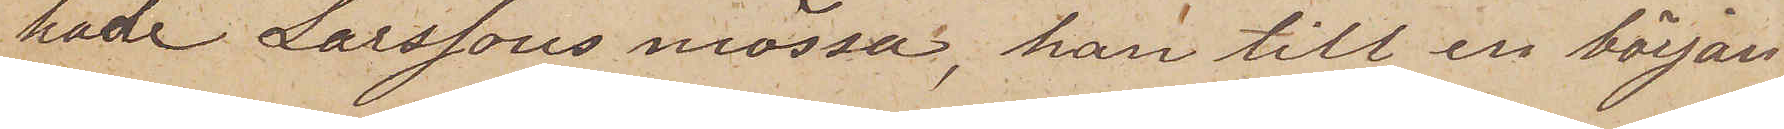hade Larssons mössa, han till en början
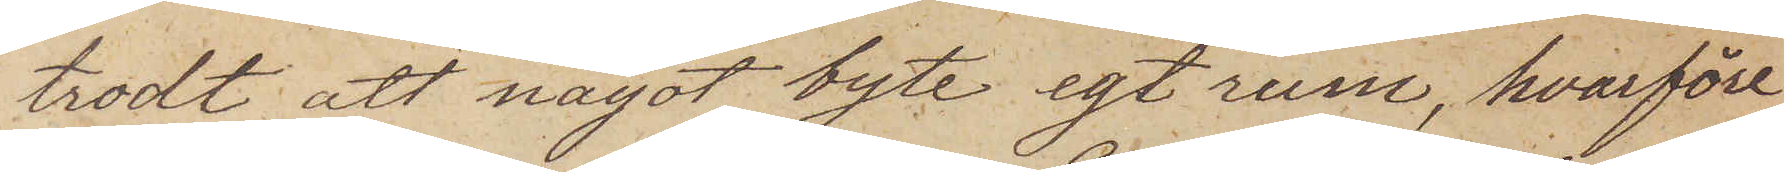trodt att något byte egt rum, hvarföre
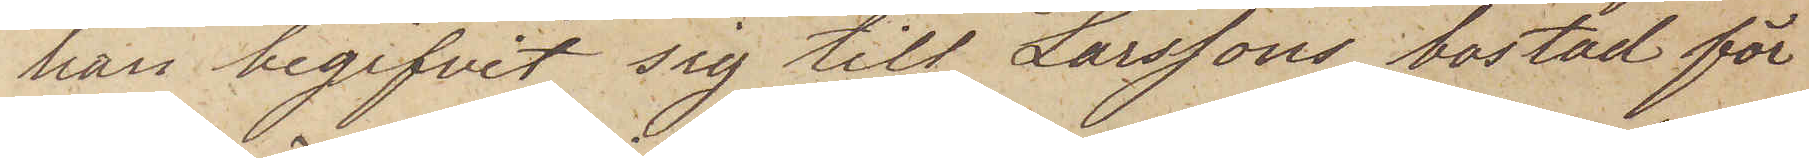han begifvit sig till Larssons bostad för
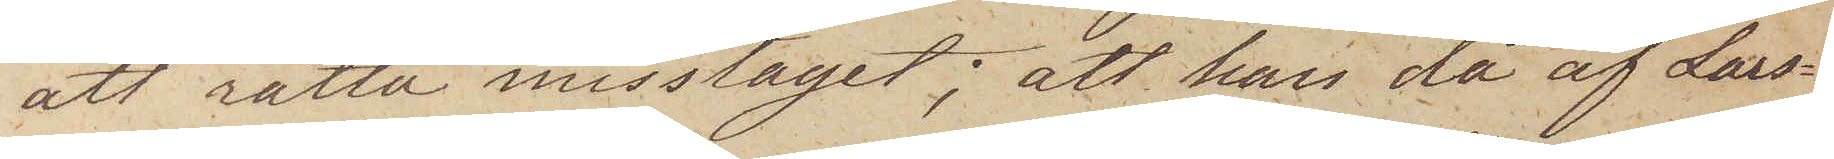att rätta misstaget; att han då af Lars¬
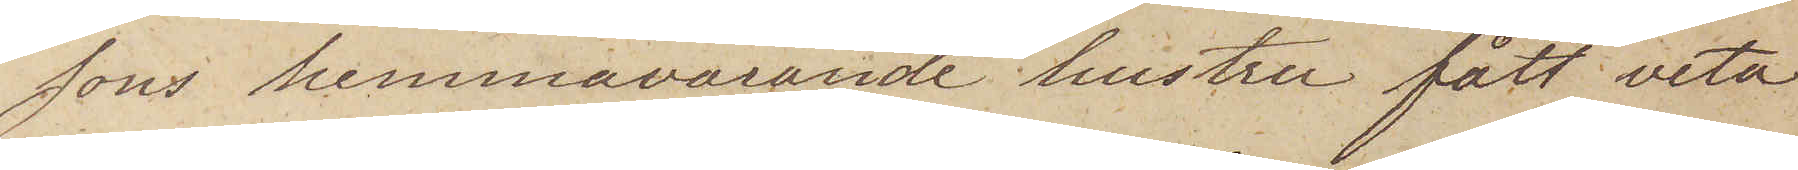sons hemmavarande hustru fått veta
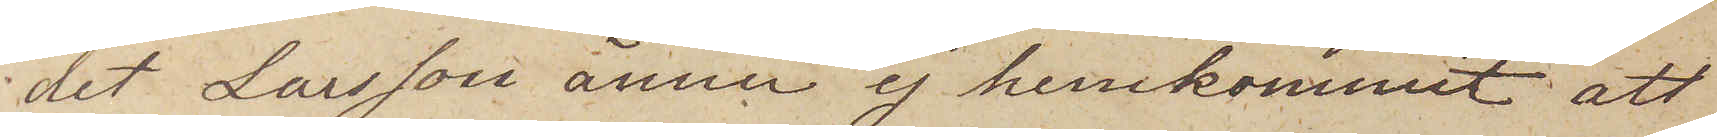det Larsson ännu ej hemkommit att
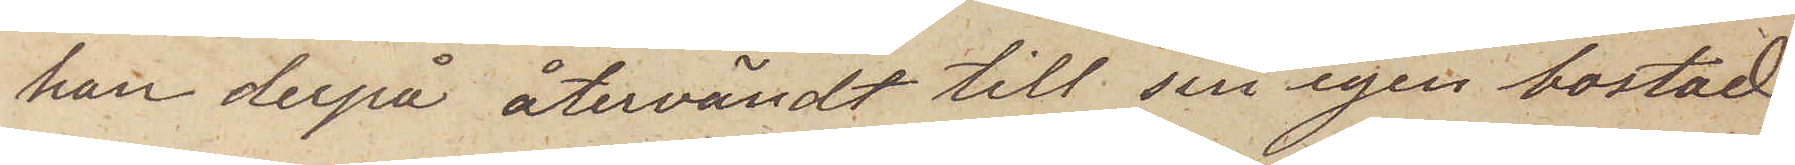han derpå återvändt till sin egen bostad
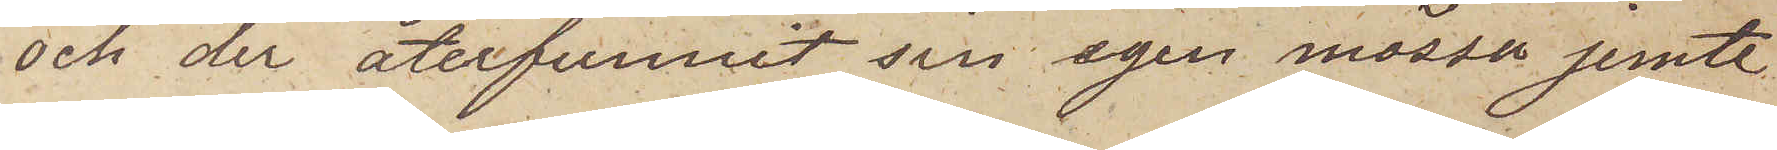och der återfunnit sin egen mössa jemte
